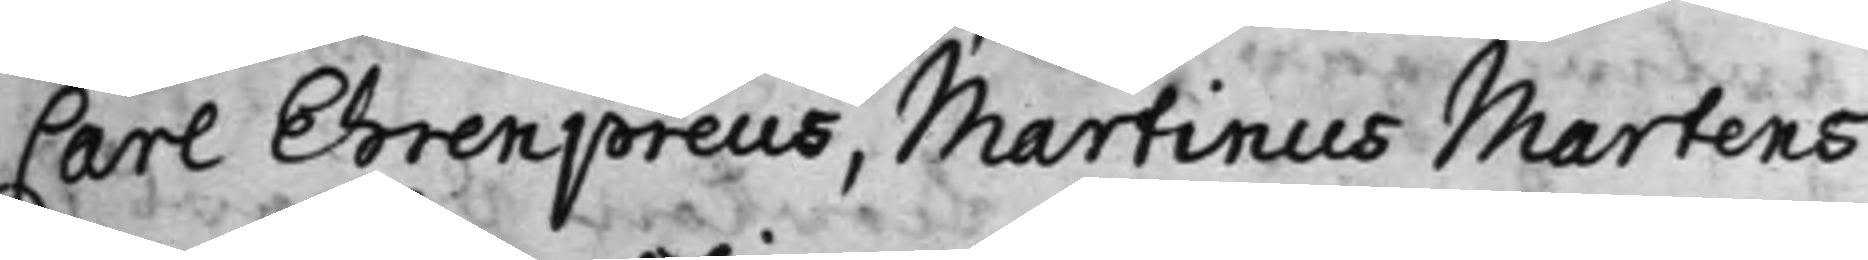Carl Ehrenpreus, Martinus Martens
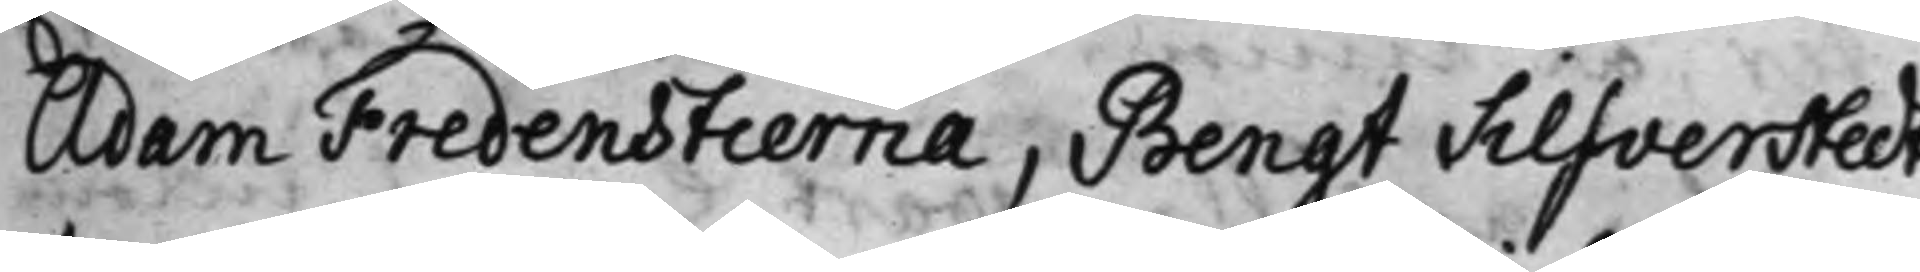Adam Fredenstierna, Bengt Silfverstedt
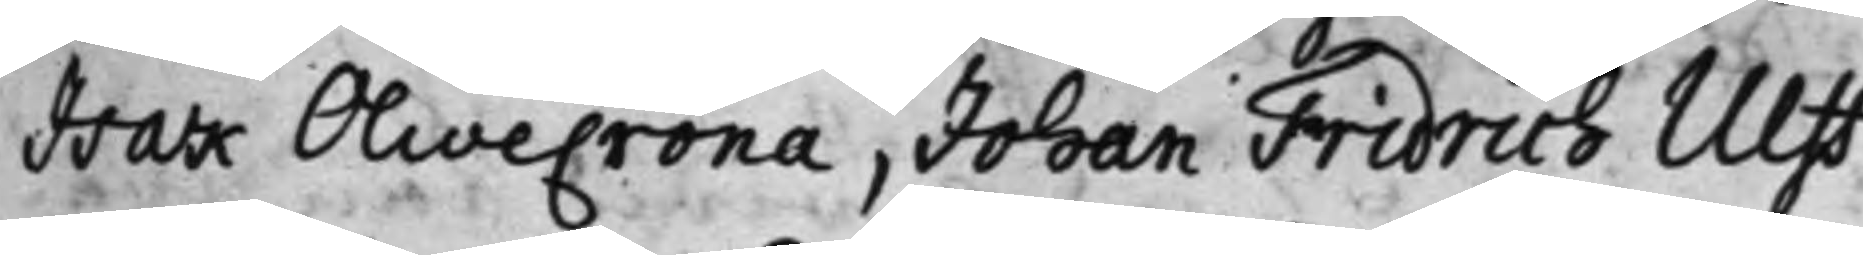Isak Olivecrona, Johan Fridrich Ulff
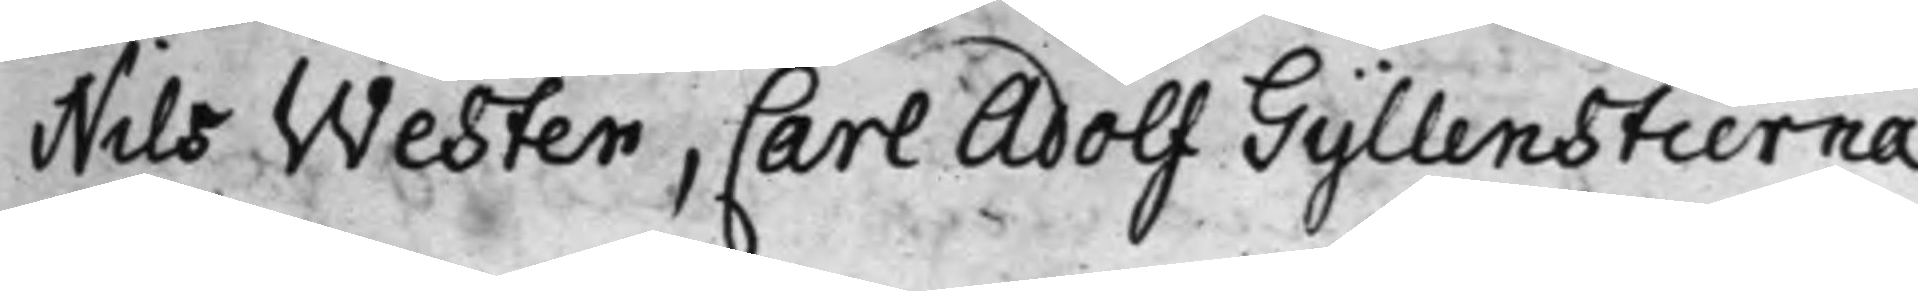Nils Wester, Carl Adolf Gyllenstierna
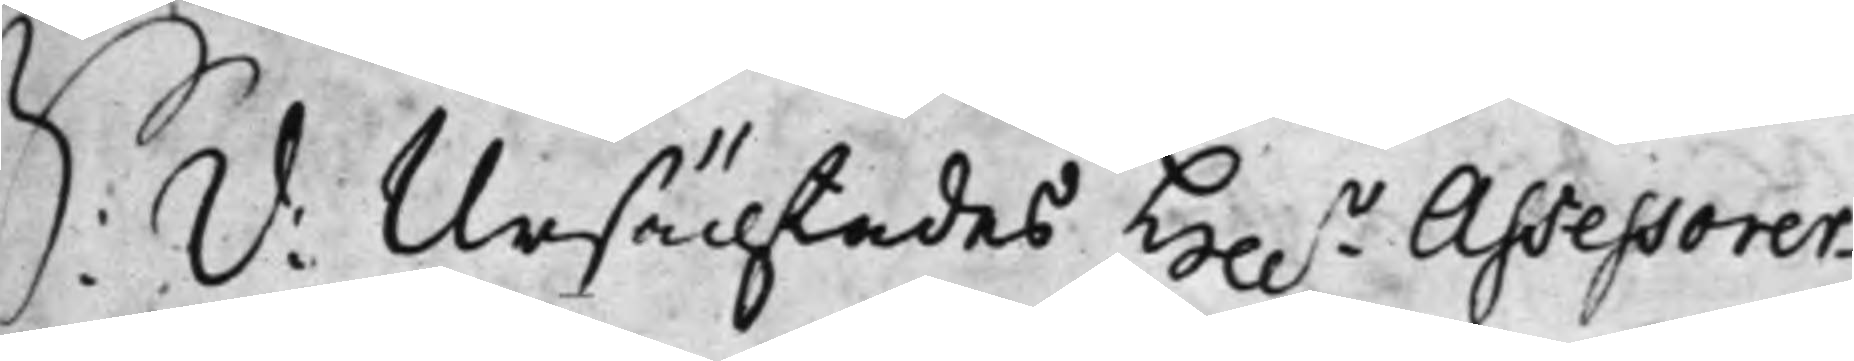S. d: Ursächtades Hh.r Assessorer
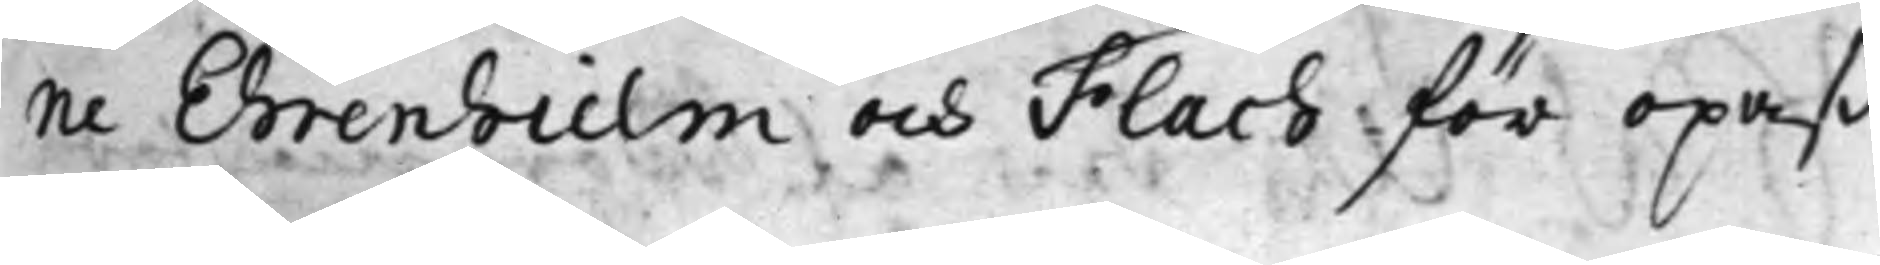ne Ehrenhielm och Flach för opaß¬
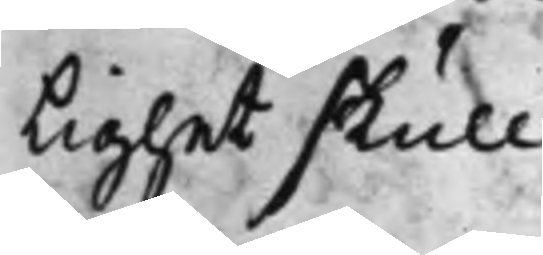lighet skull.
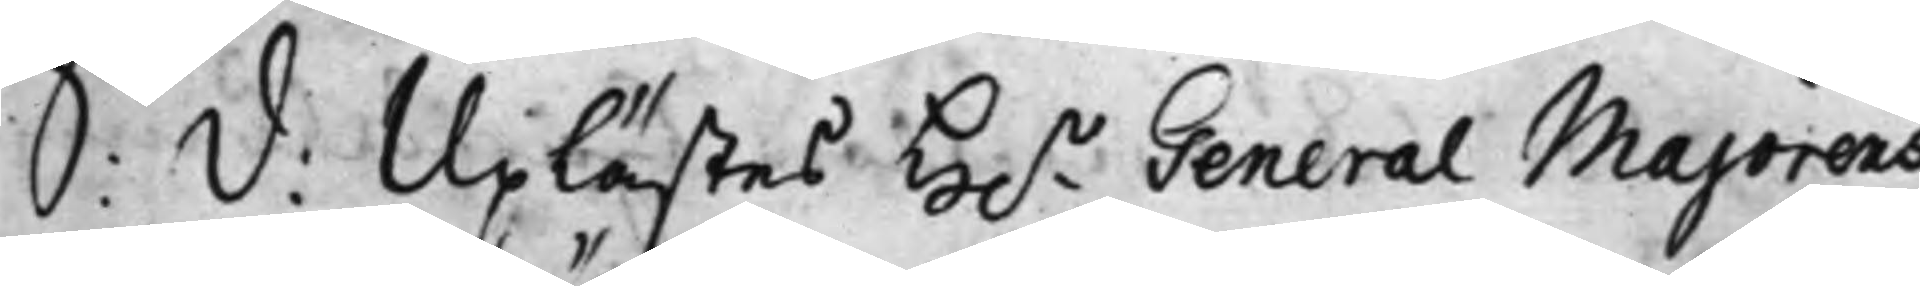S: d: Uplästes H.r General Majorens
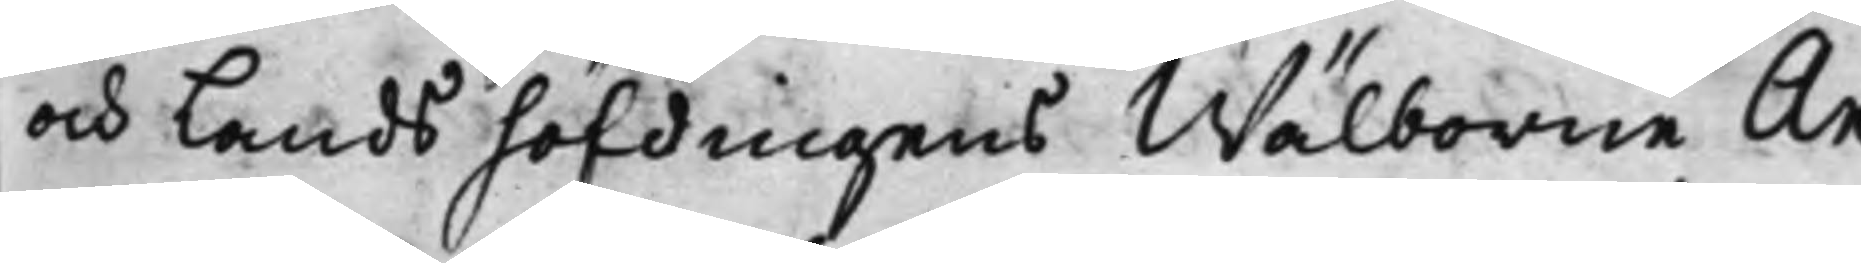och Landshöfdingens Wälborne An¬
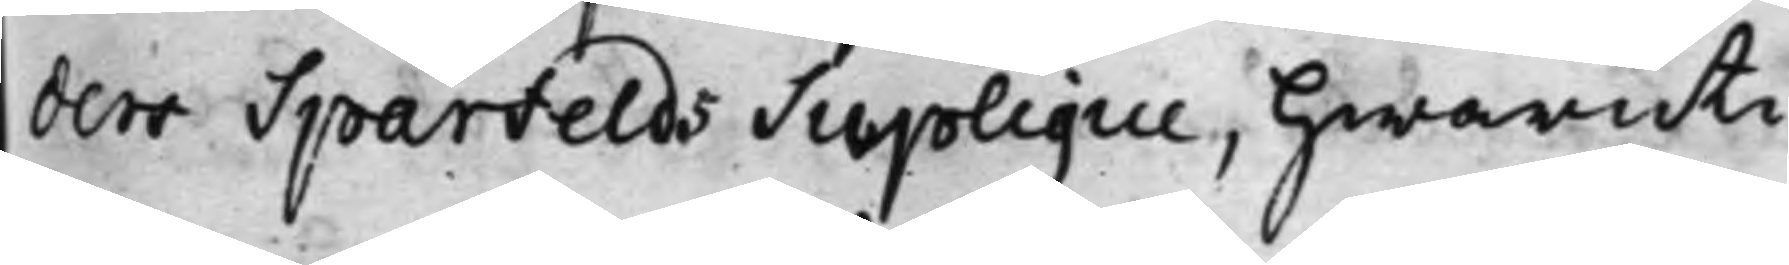ders Sparfelds Suplique, hwaruti
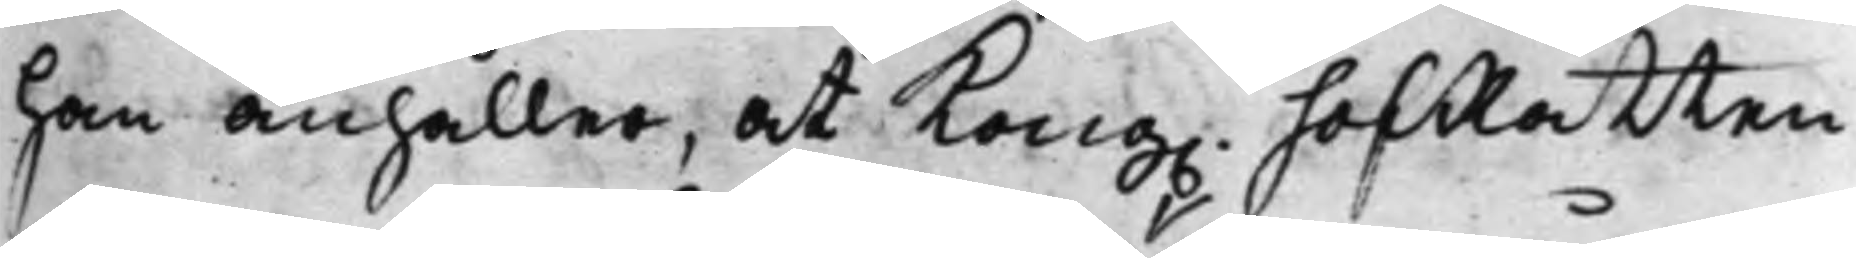han anhåller, at Kong. HofRätten
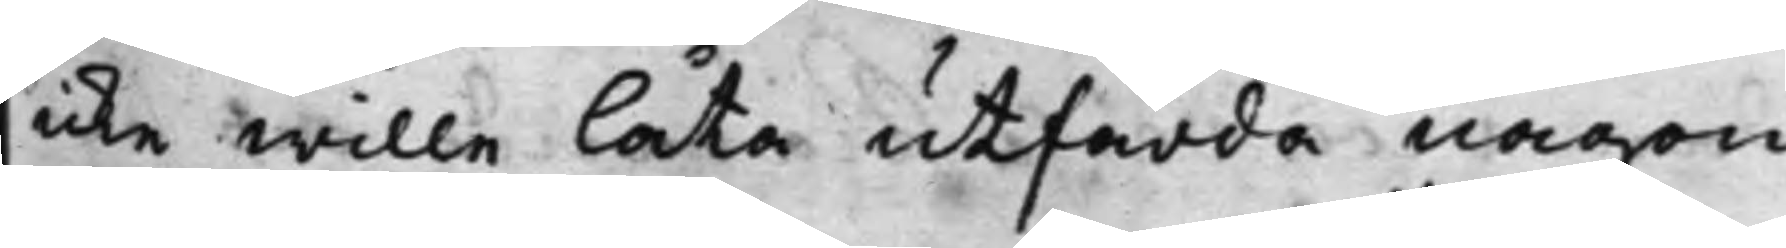icke wille låta utfärda någon
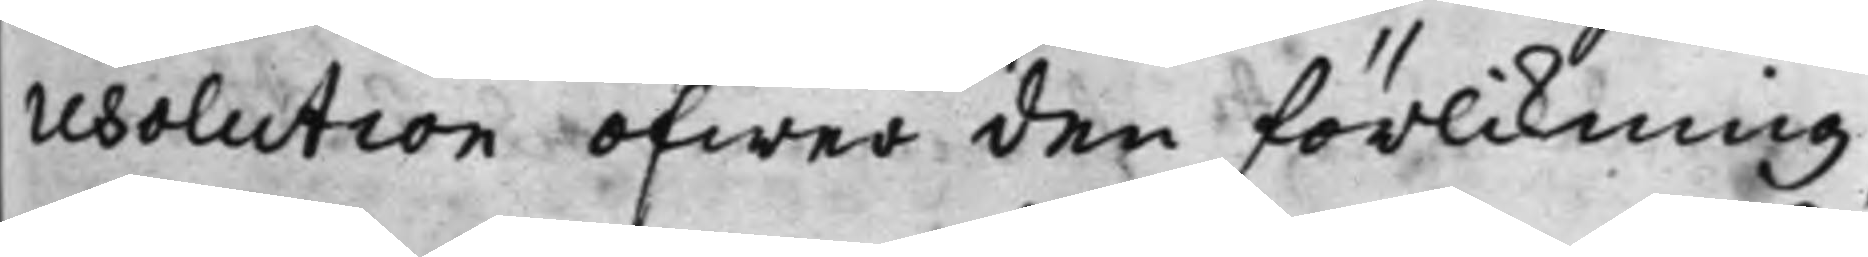resolution öfwer den förlikning,
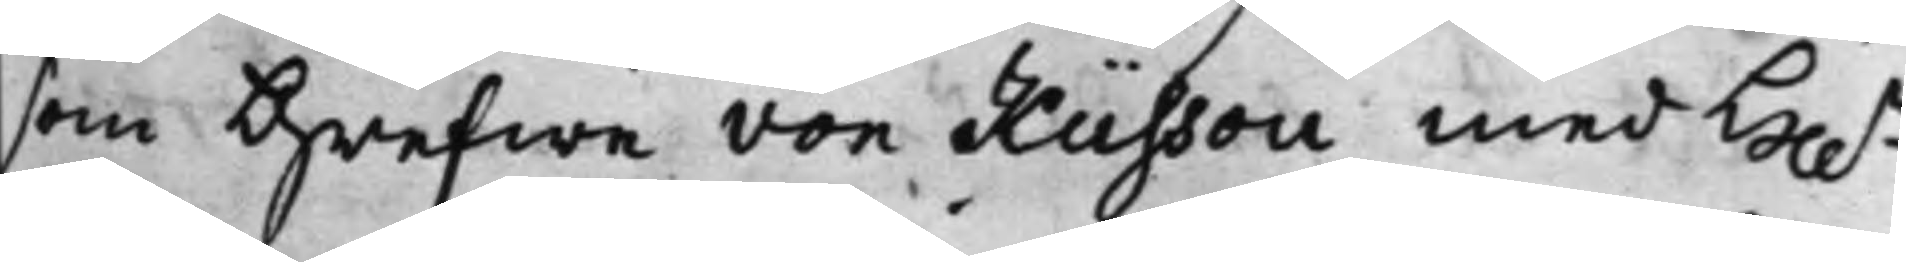som Grefwe von Küssou med H.r
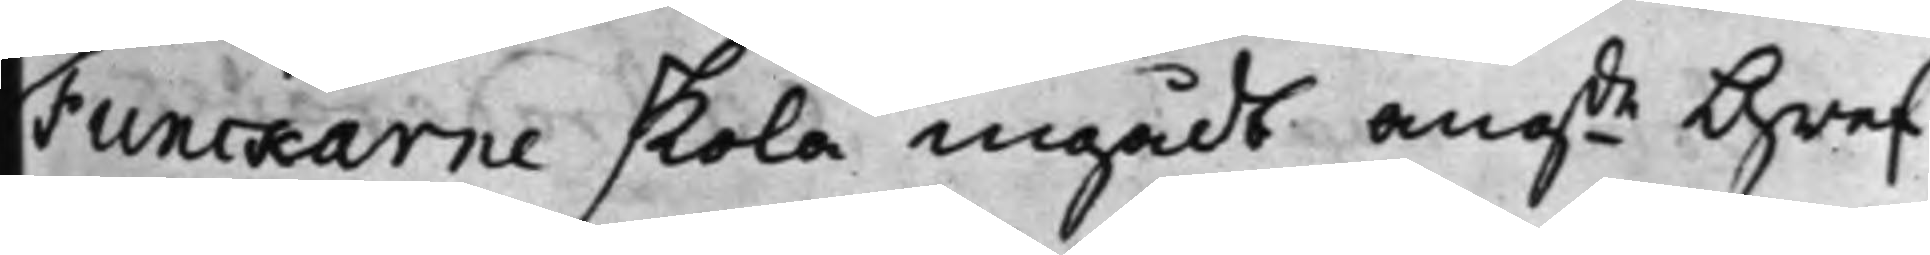Funckarne skola ingådt angde Gref¬
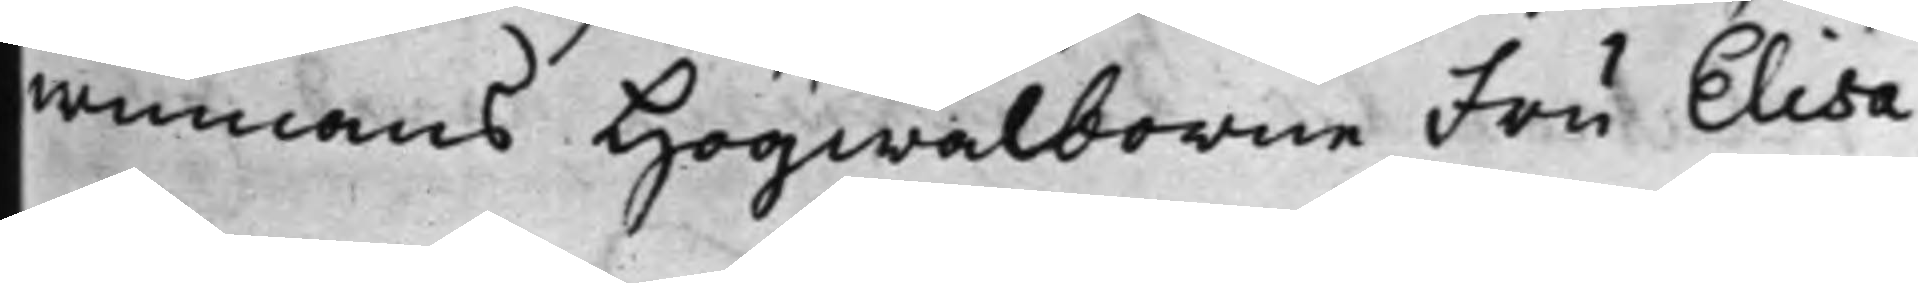winnans Högwälborne Fru Elisa¬
